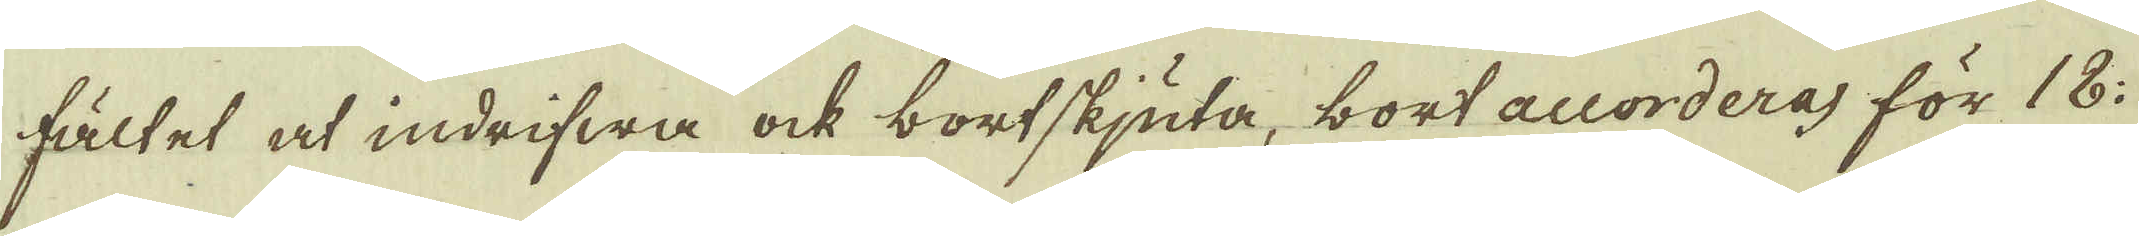fältet at indrifwa ock bortskjuta, bort accorderas för 18:
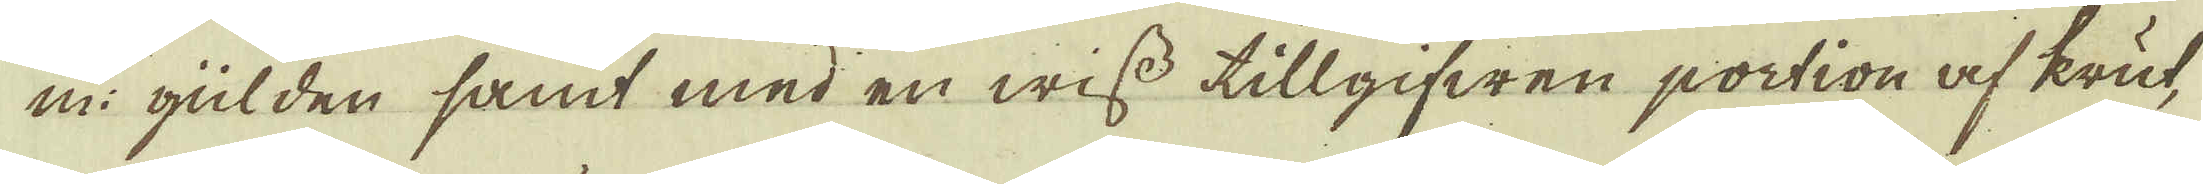m: gülden samt med en wiss tillgifwen portion af krut,
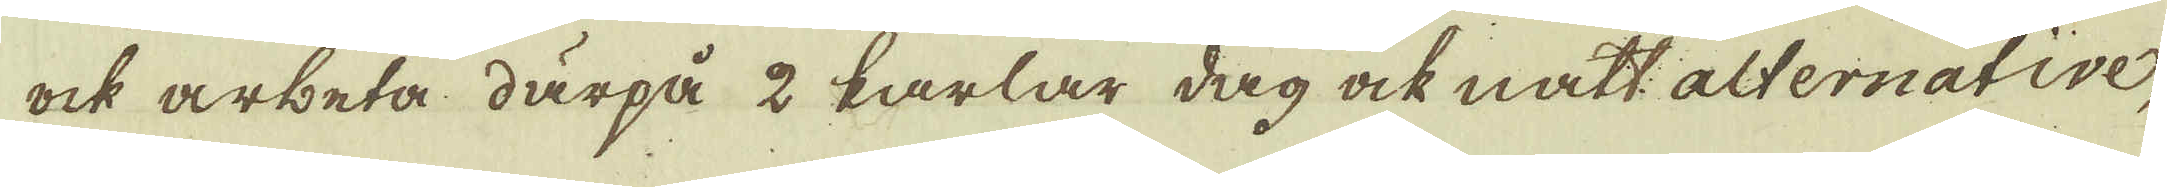ock arbeta därpå 2 karlar dag ock natt alternative,
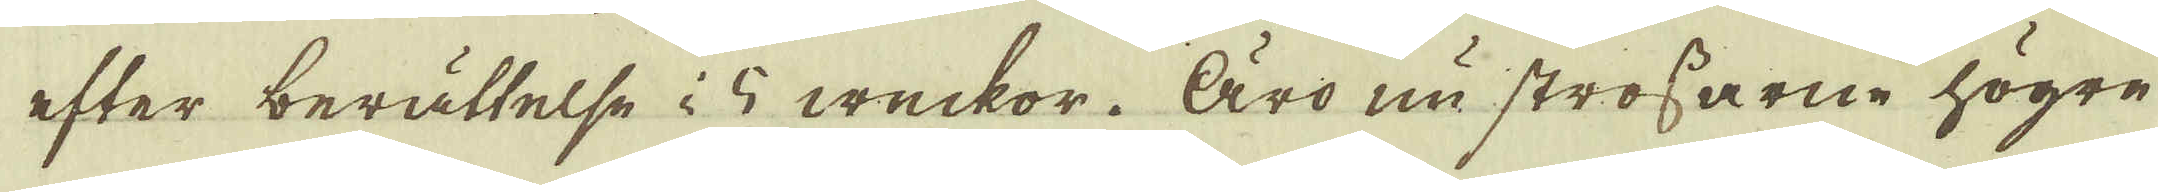efter berättelse i 5 weckor. Äro nu strossarne högre
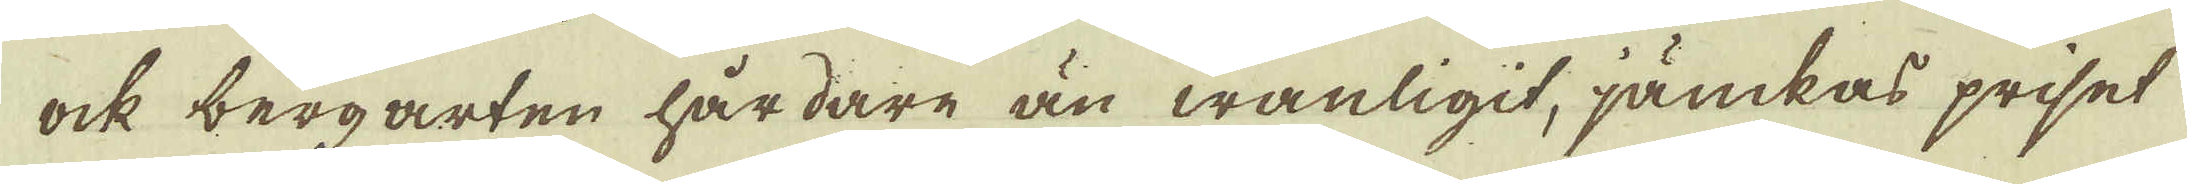ock bergarten hårdare än wanligit, jämkas priset
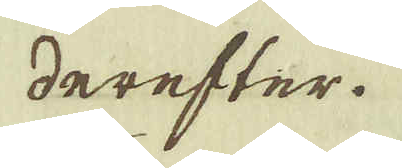derefter.
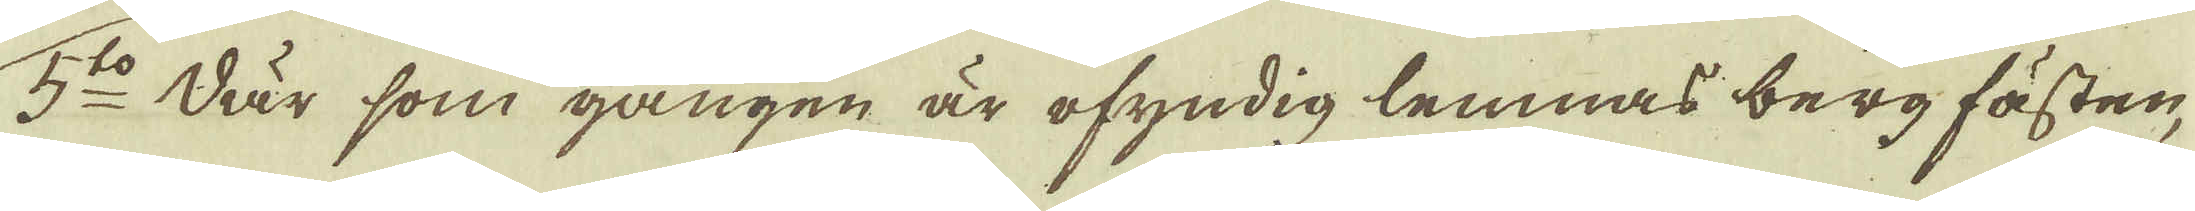5:to Där som gången är ofyndig lemnas berg fästen,
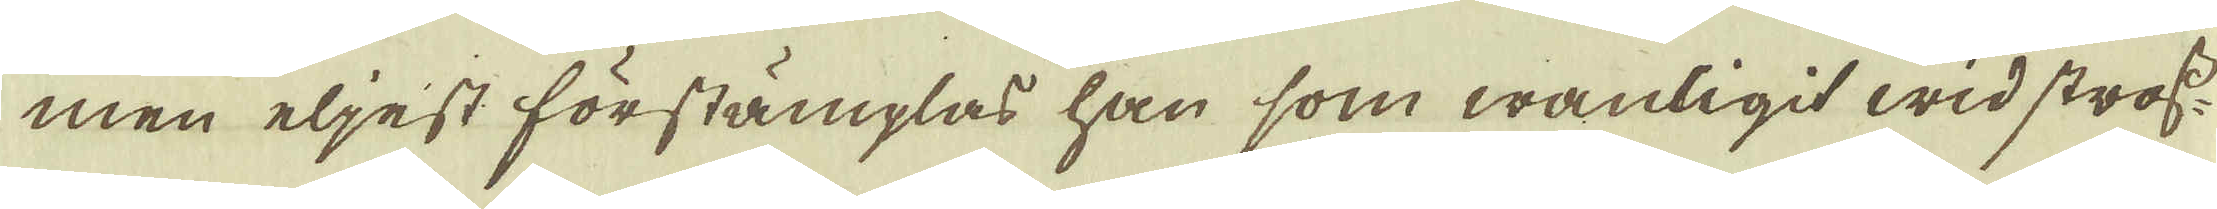men eljest förstämplas han som wanligit wid stross-
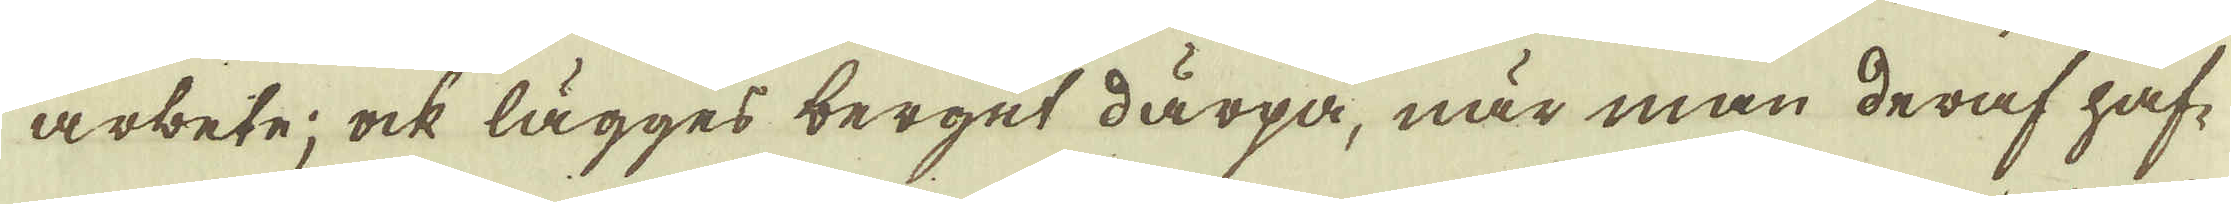arbete; ock lägges berget därpå, när man deraf haf-
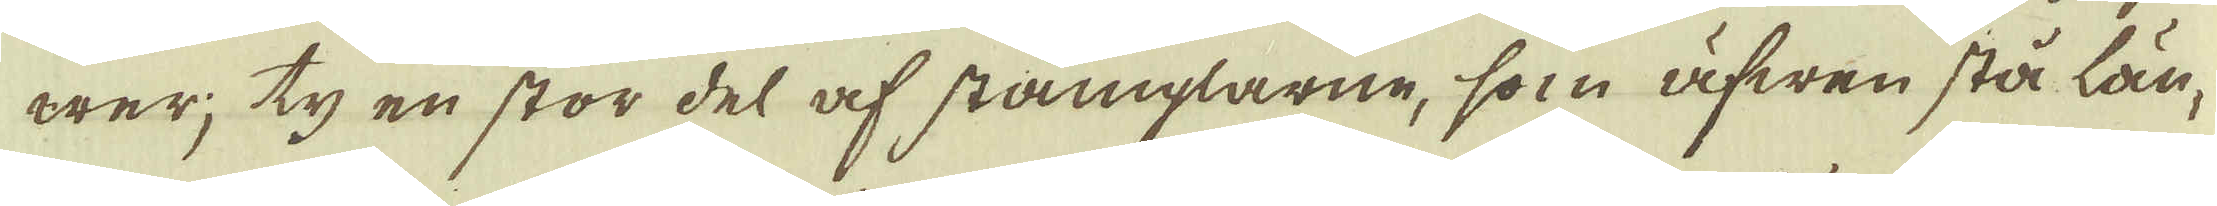wer; ty en stor del af stämplarne, som äfwen stå län-
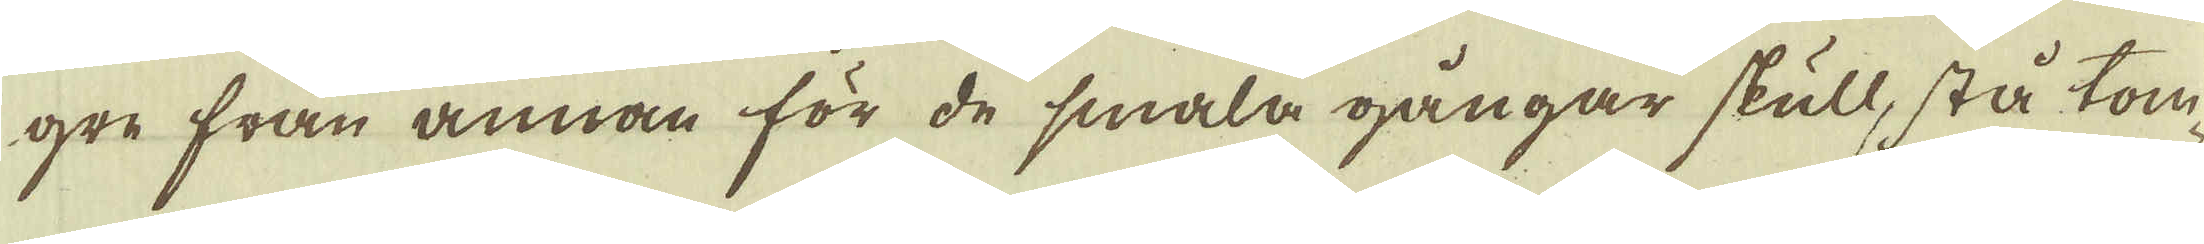gre från annan för de smala gångar skull, stå tom-
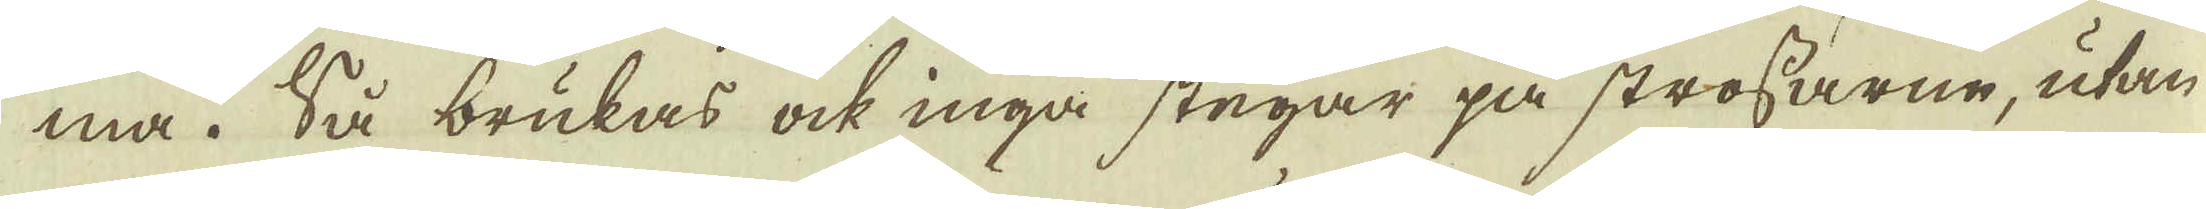ma. Så brukas ock inga stegar på strossarne, utan
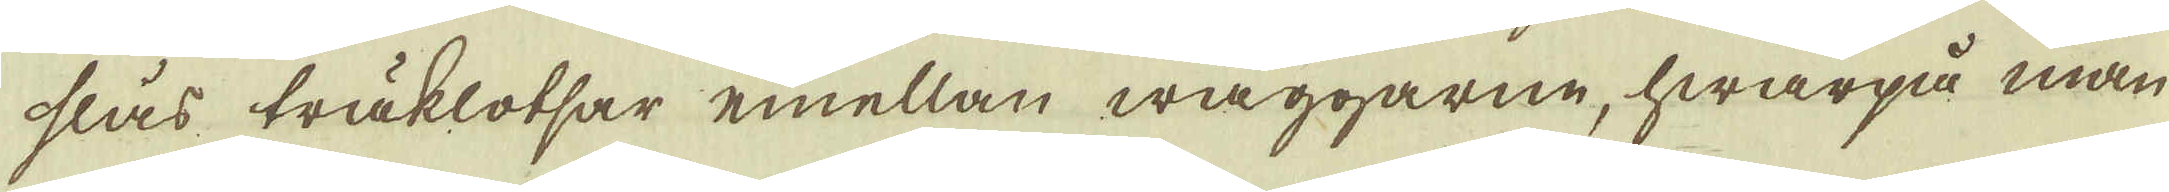slås träklotsar emellan wäggarne, hwarpå man
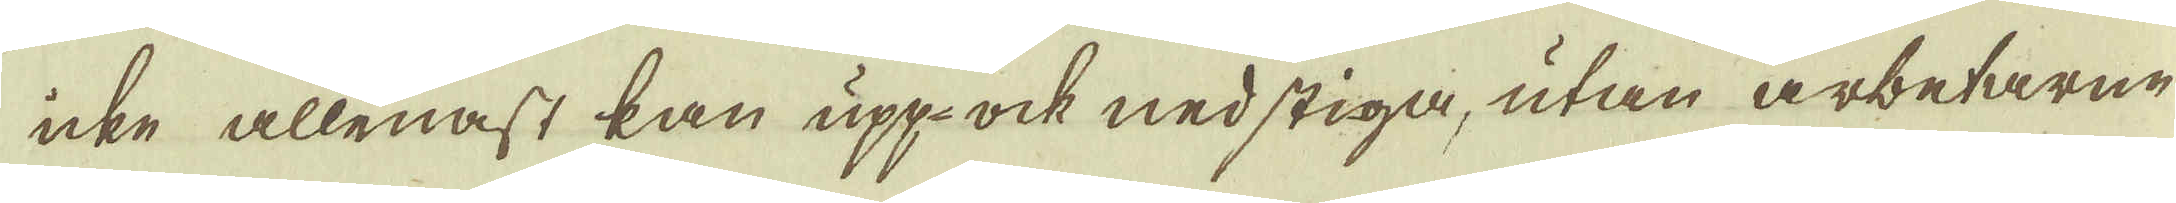icke allenast kan upp ock nedstiga, utan arbetarne
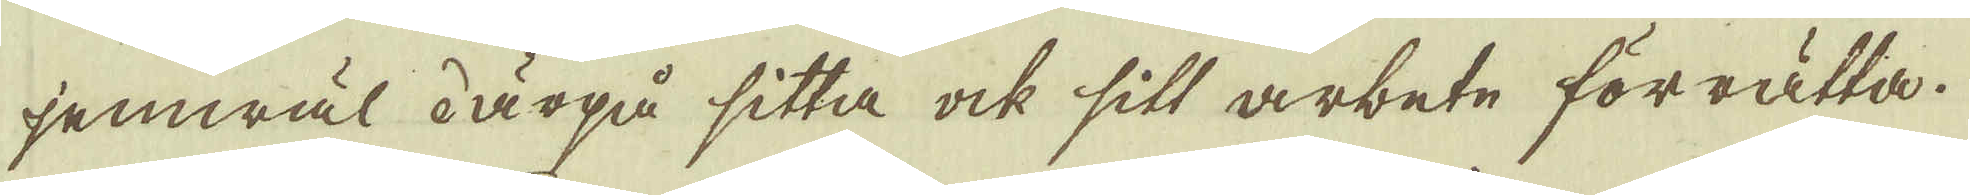jemwäl därpå sitta ock sitt arbete förrätta.
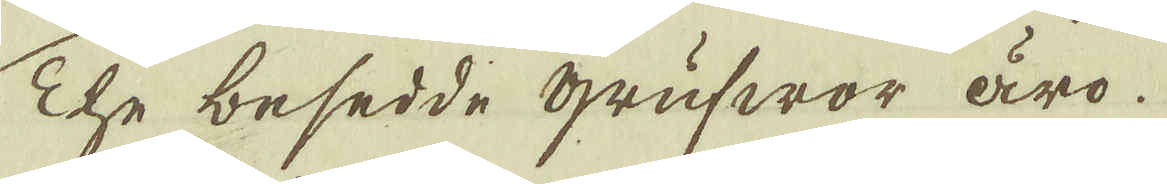The besedde Grufwor äro
